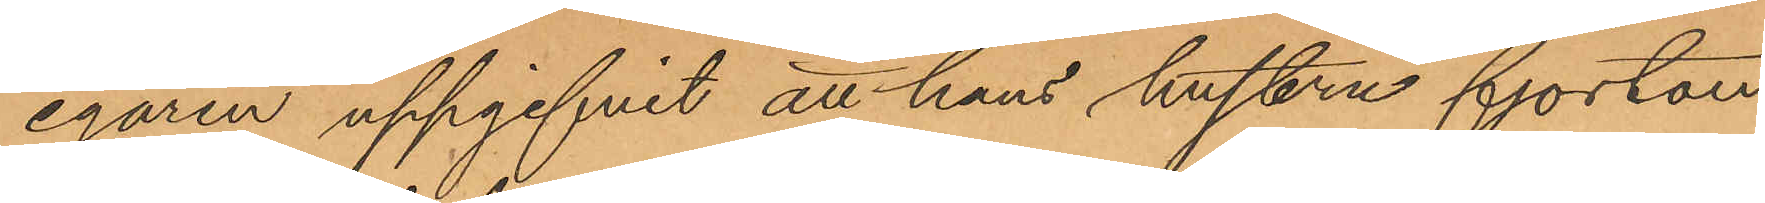egaren uppgifvit att hans hustru fjorton
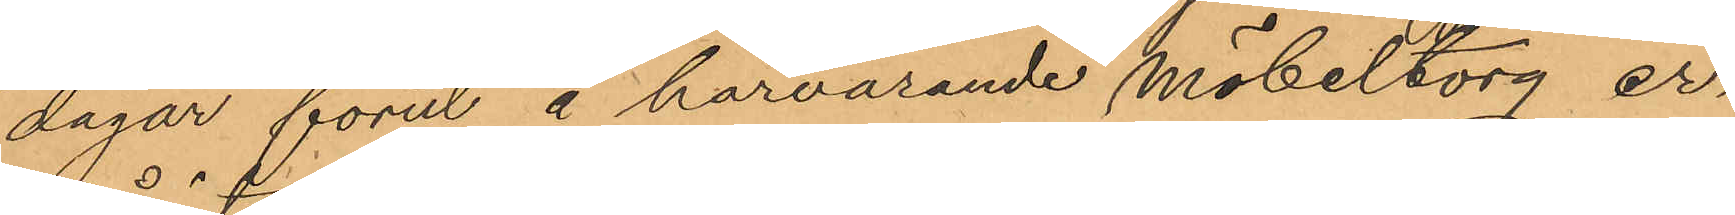dagar förut å härvarande Möbeltorg er¬
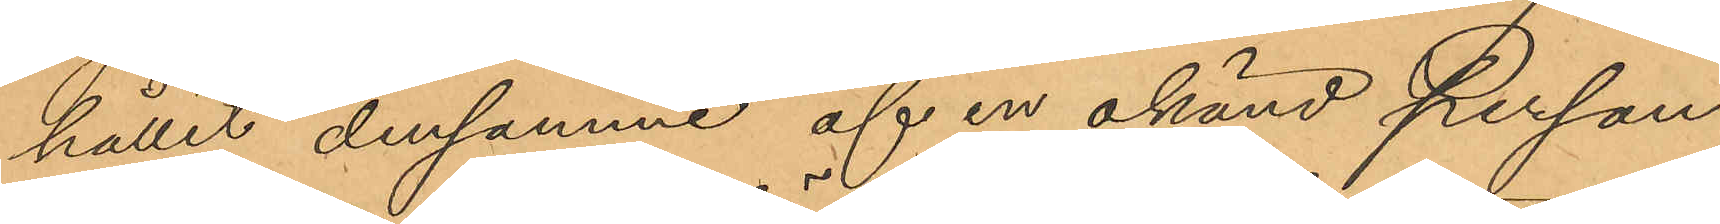hållet densamme af en okänd person
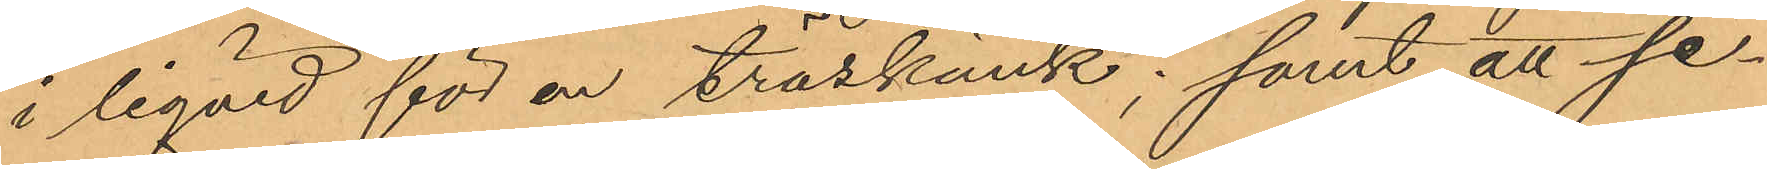i liqvid för en träskänk; samt att se¬
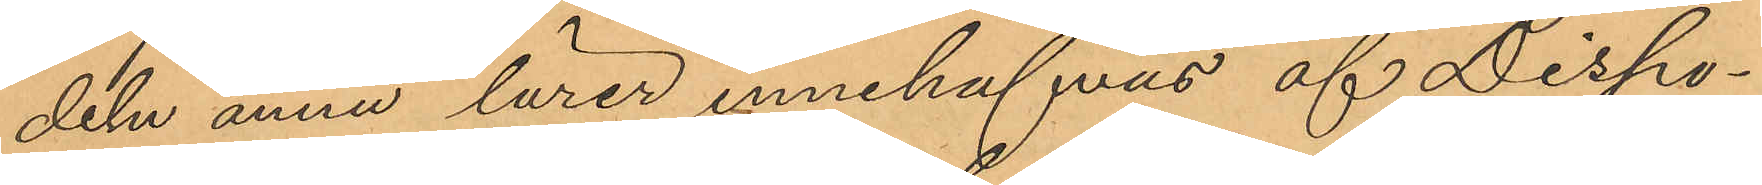deln ännu lärer innehafvas af Dispo¬
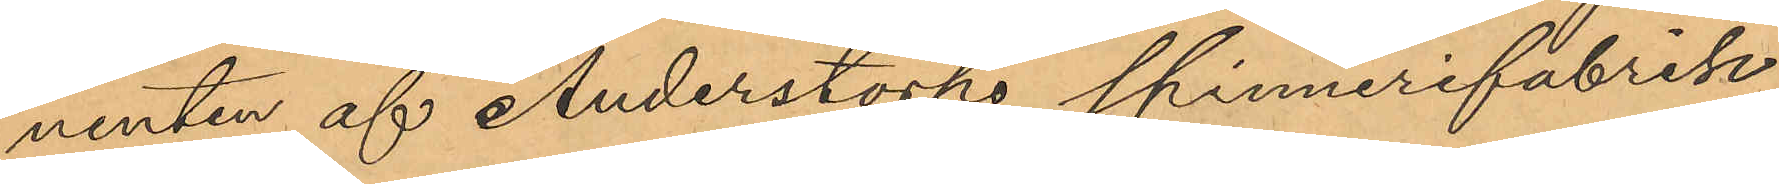nenten af Anderstorps Spinnerifabrik
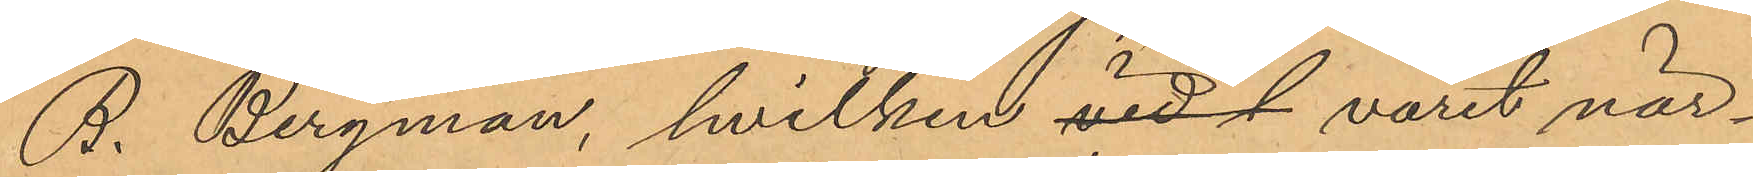B. Bergman, hvilken vidf varit när¬
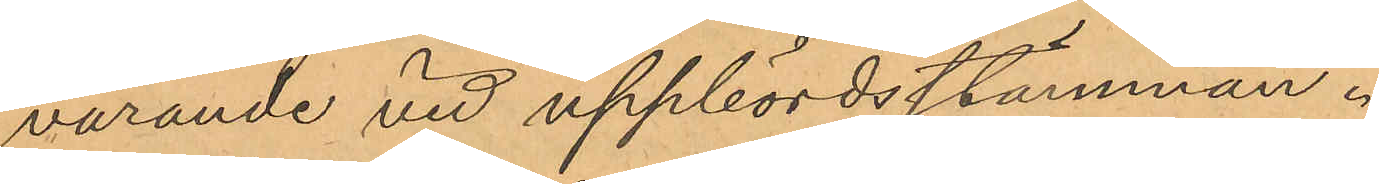varande vid uppbördsstämman.
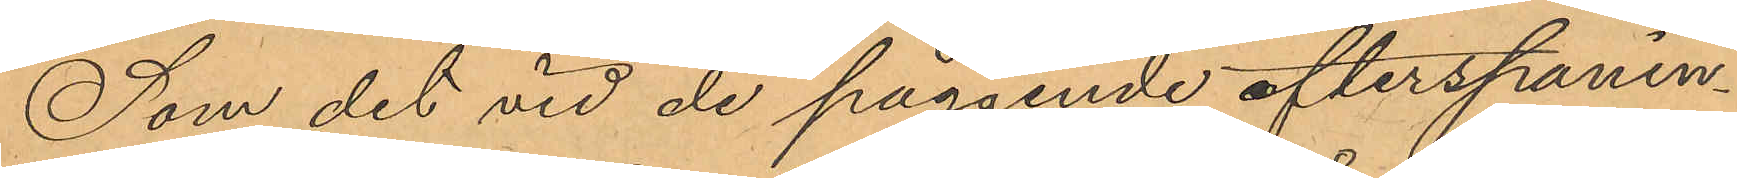Som det vid de pågående efterspanin¬
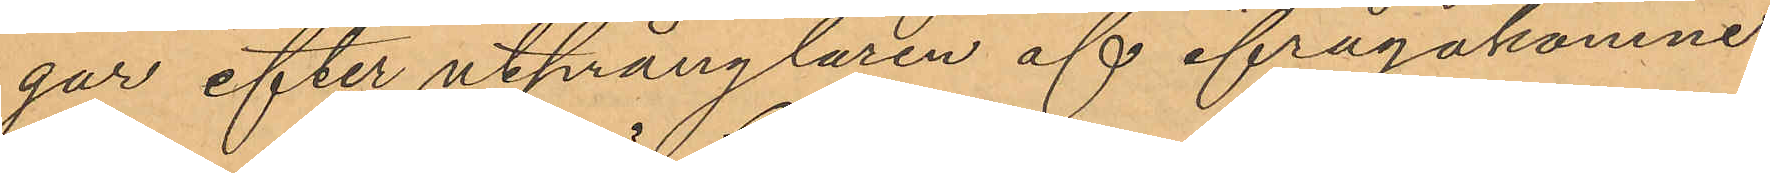gar efter utprånglaren af ifrågakomne
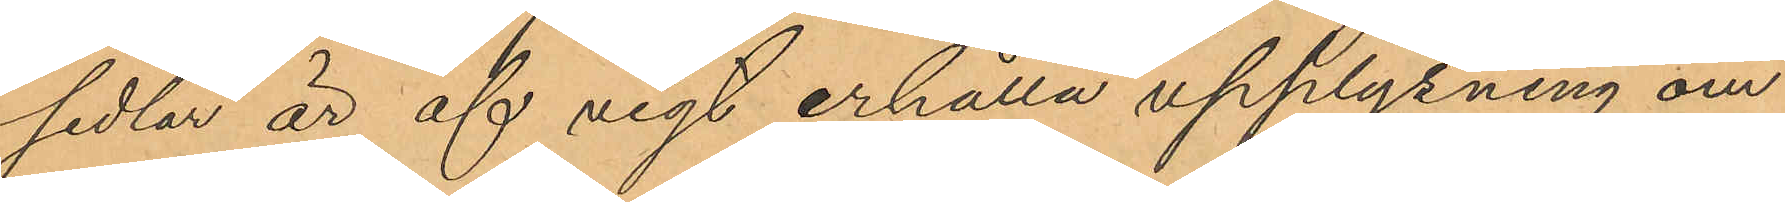sedlar är af vigt erhålla upplysning om
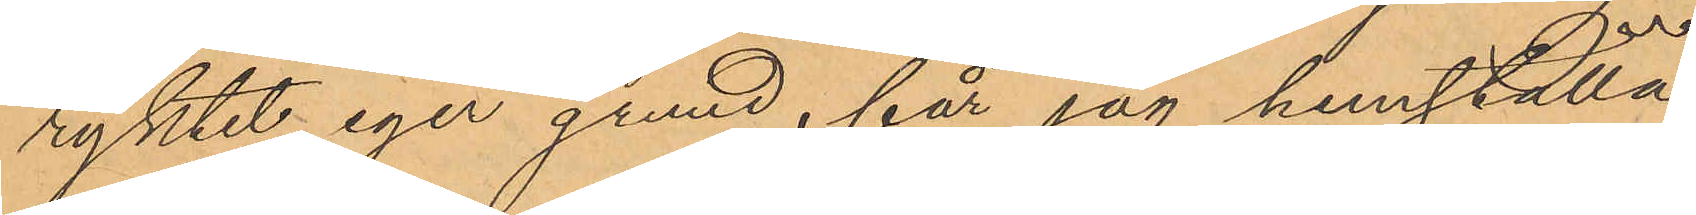ryktet eger grund, får jag hemställa
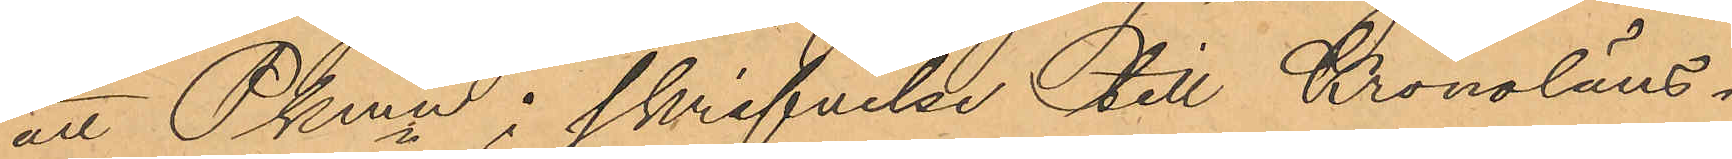att Pkmn i skrifvelse till Kronoläns¬
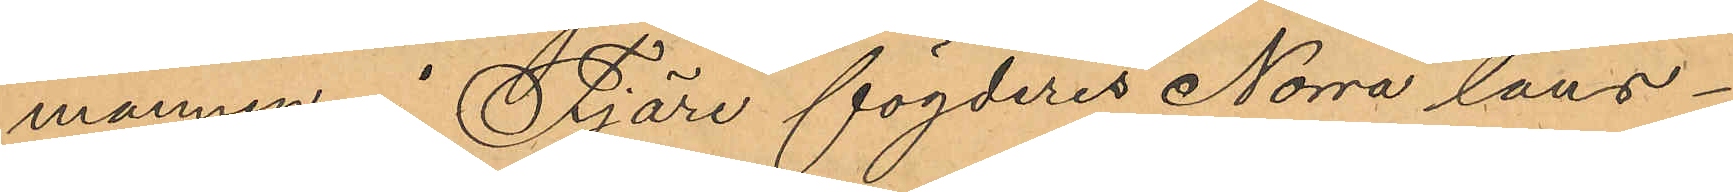mannen Fjäre fögderis Norra läns¬
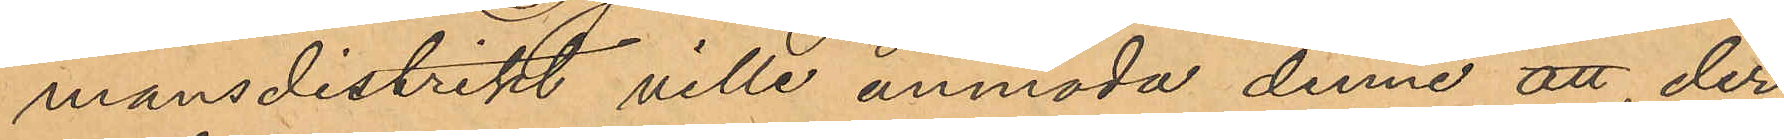mansdistrikt ville anmoda denne att, der¬
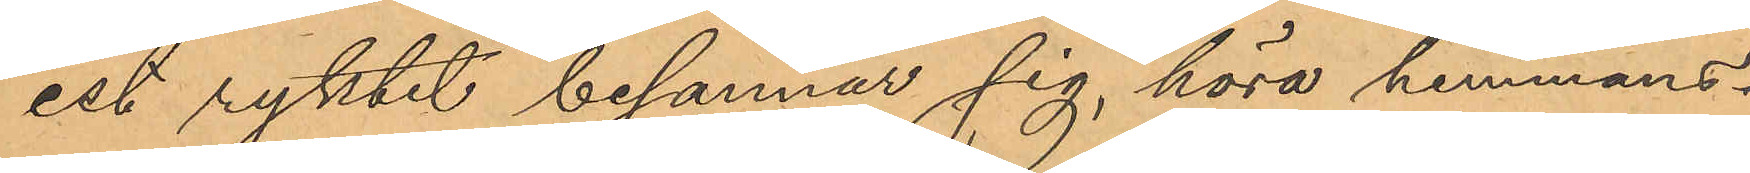est ryktet besannar sig, höra hemmans¬
